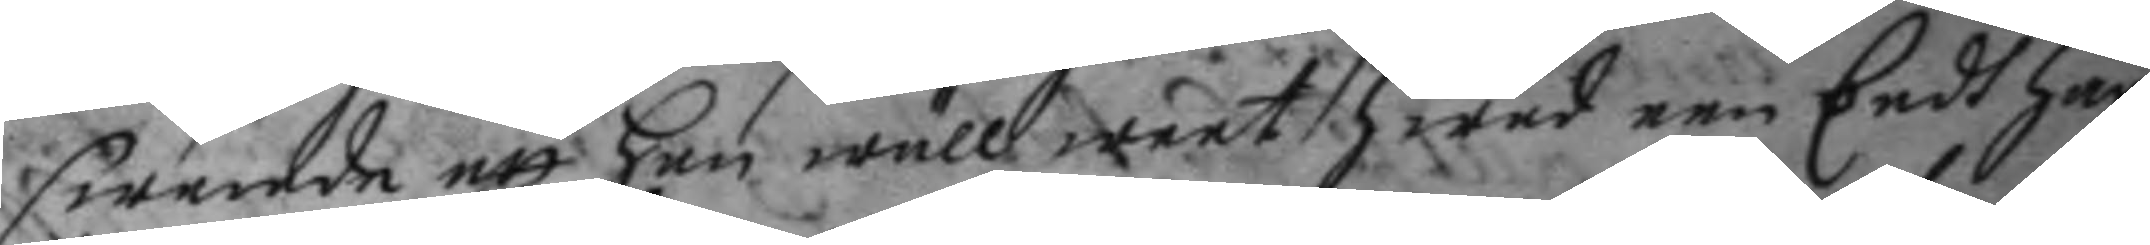swarade att han wäll weet hwad een Eedh har
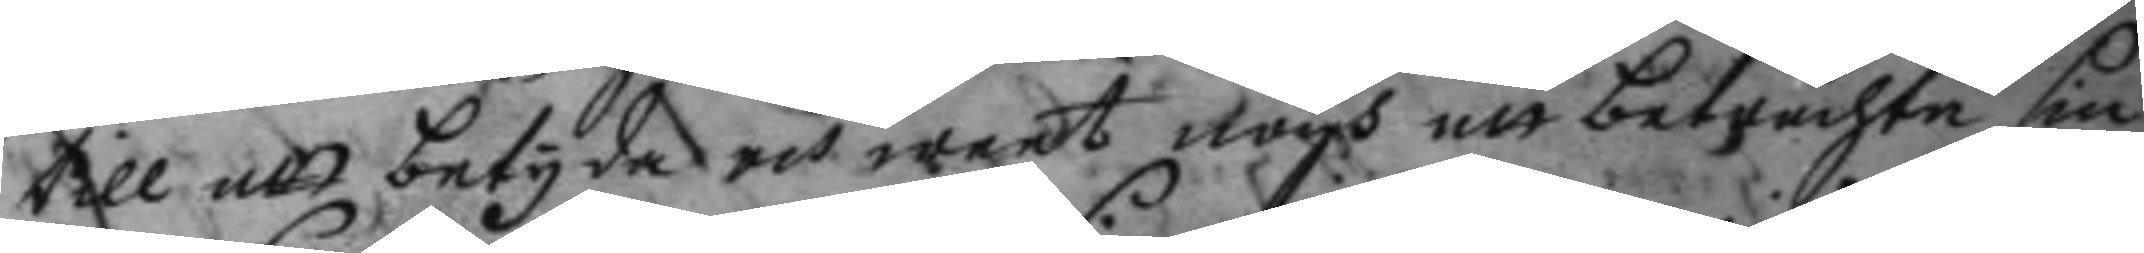till att betyda och weet nogh att betrachta sin
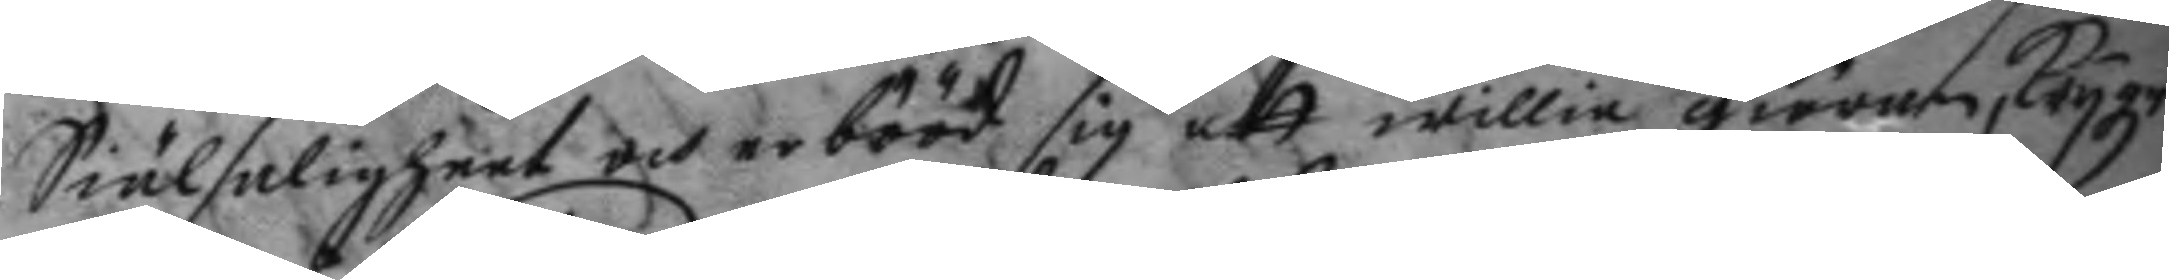Siälsaligheet och erbööd sig att willia giöran, Krygz
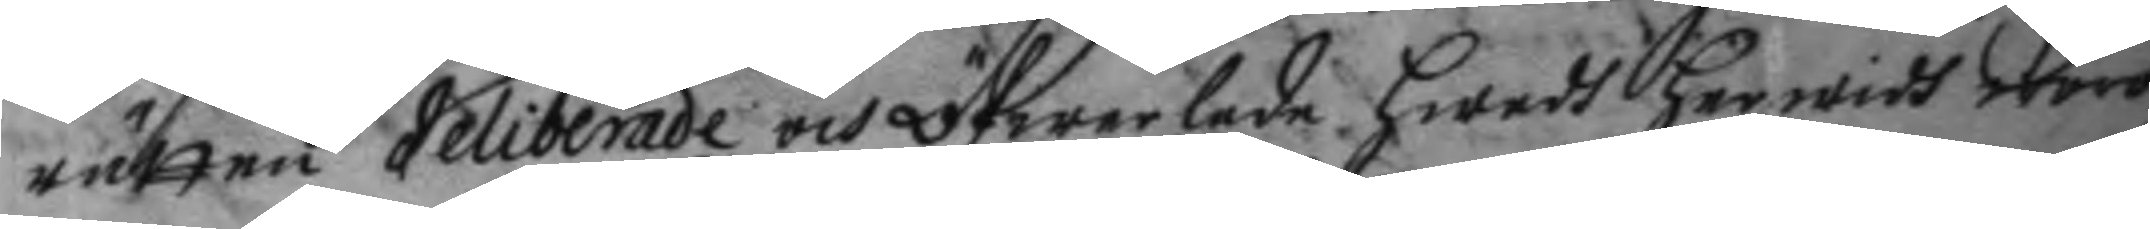rätten deliberade och öfwerlade hwadh herwidh wore
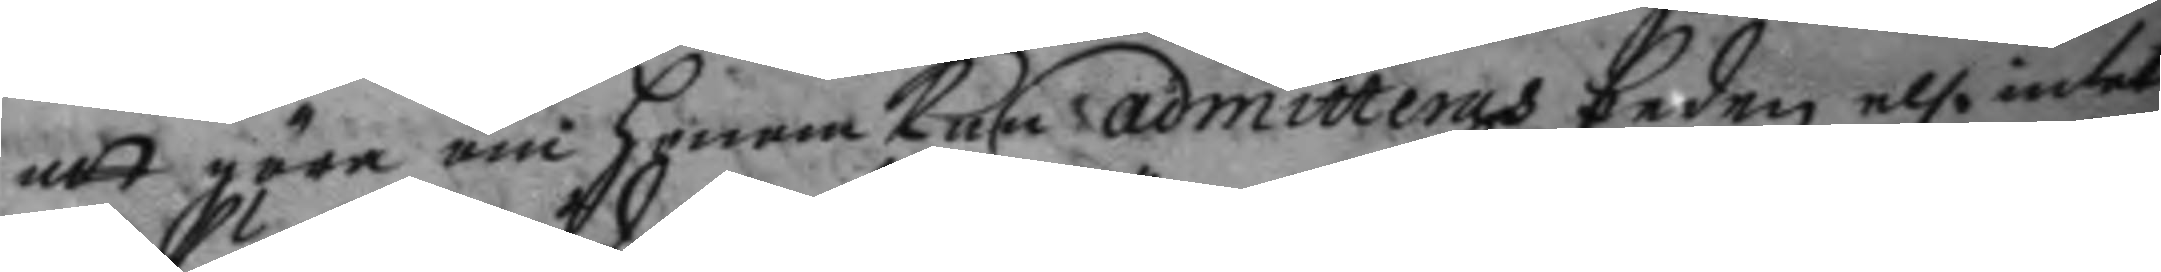att göra om honom kan admitteras Eeden el. intet
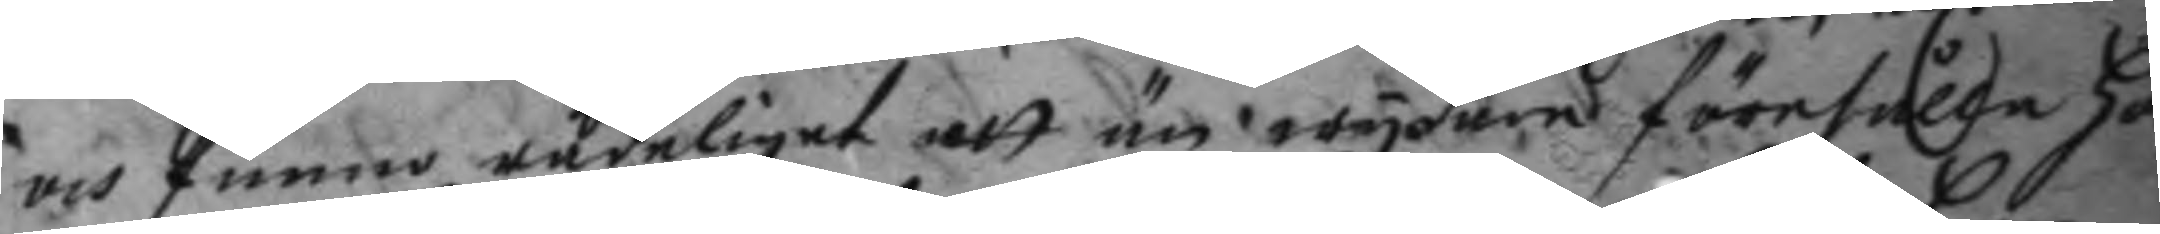och funno rådeliget att än wydare förehålla ho¬
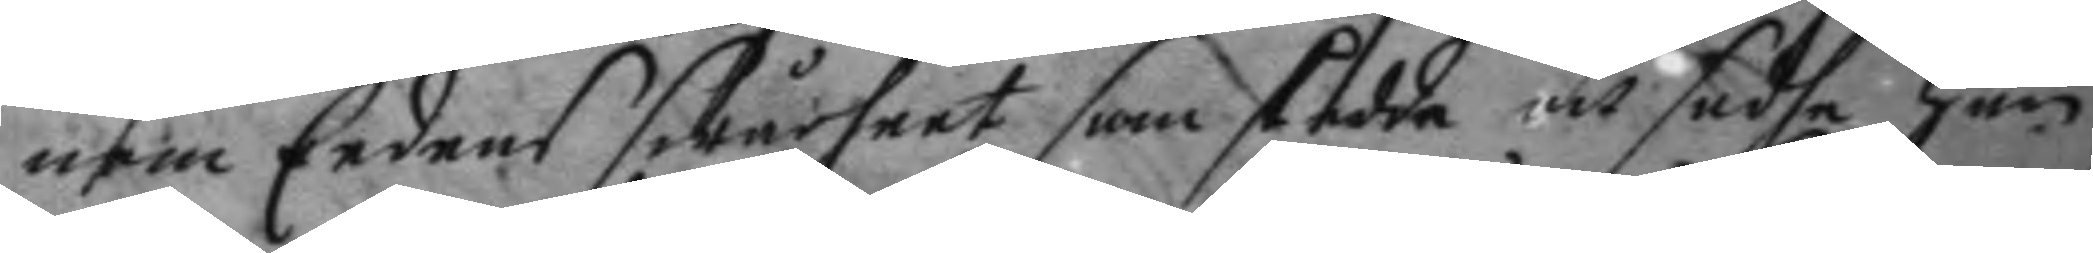nom Eedens swårheet som skedde och sadhe han
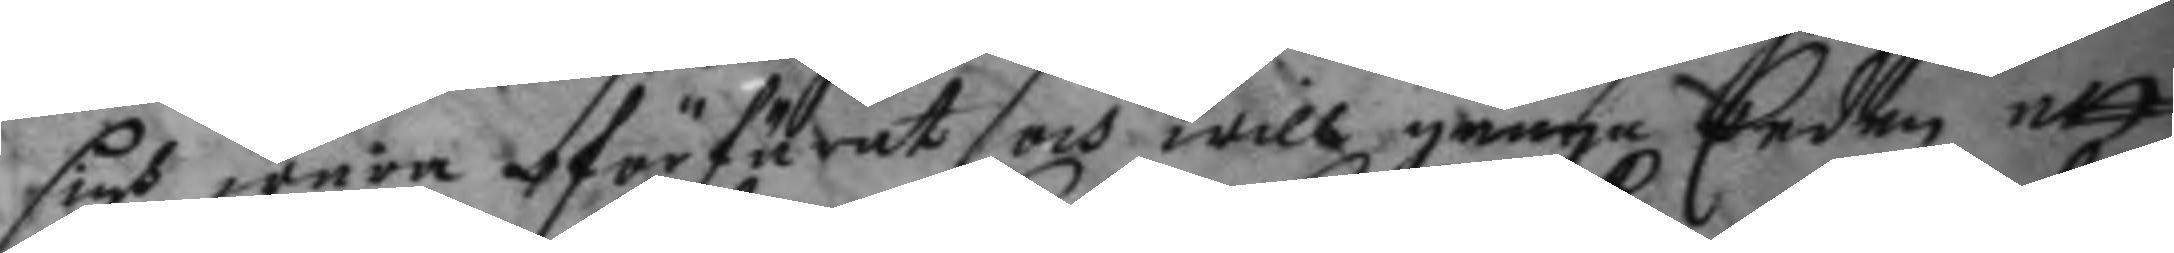sigh wara oförfärat och will gånga Eeden att
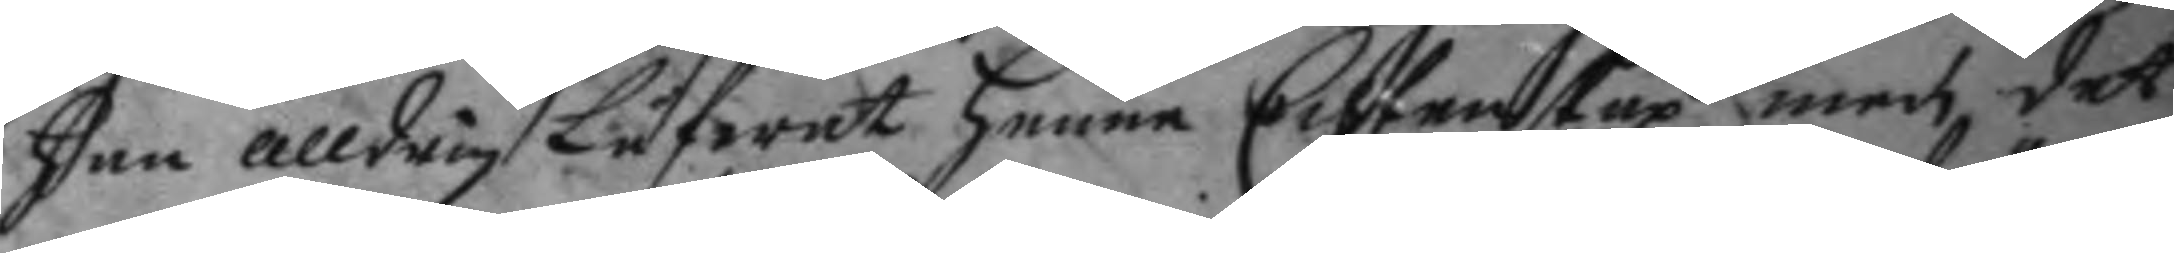han alldrig Låfwat henne Echtenskap med det
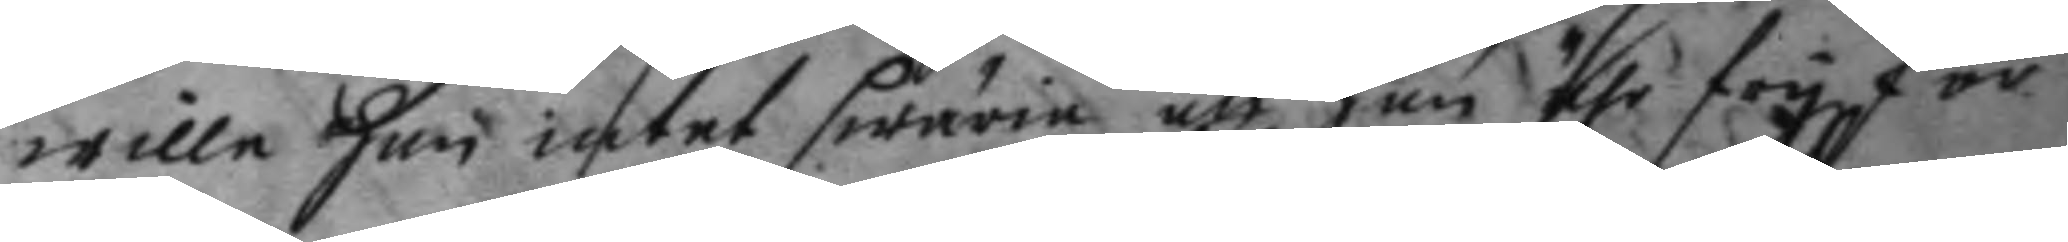wille han intet swäria att han ähr fry för
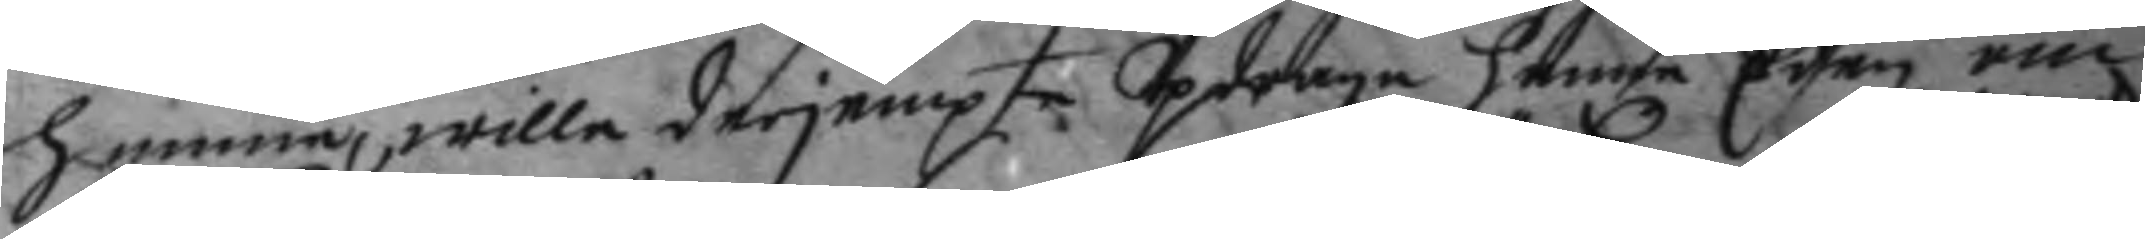henne, wille derjempte Updraga henne Eden om
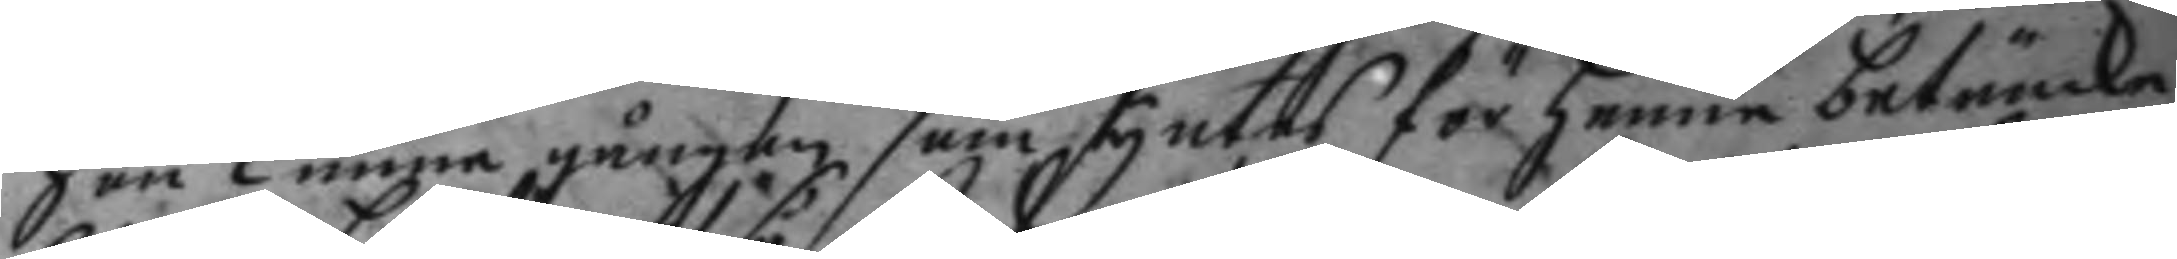hon kunne gången som syntes för henne betänck¬
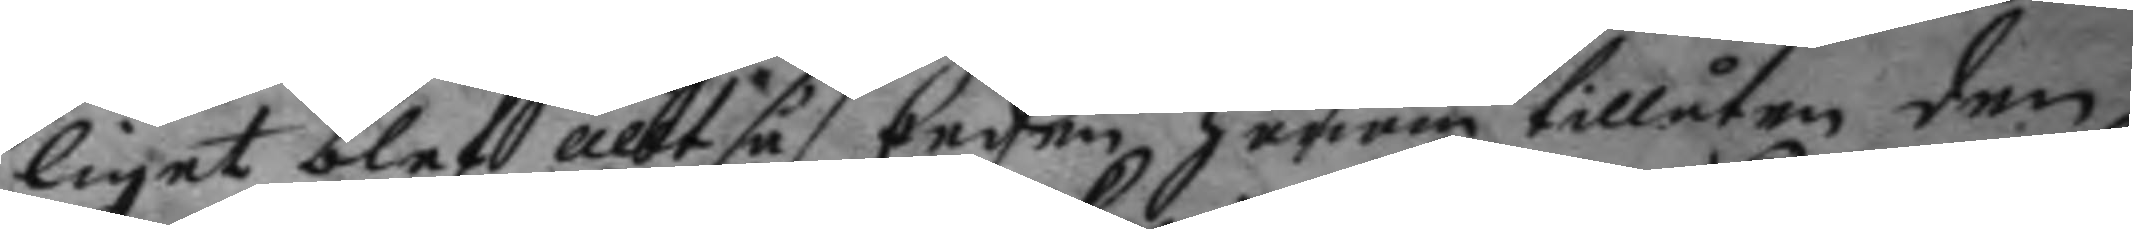liget blef alltså Eeden honom tillåten den
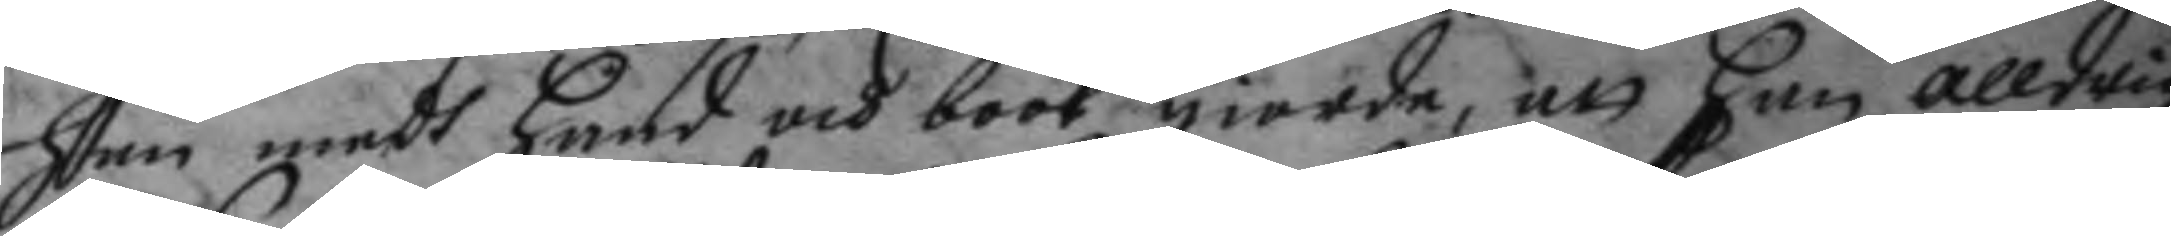han medh hand å bool giorde, att han alldrig
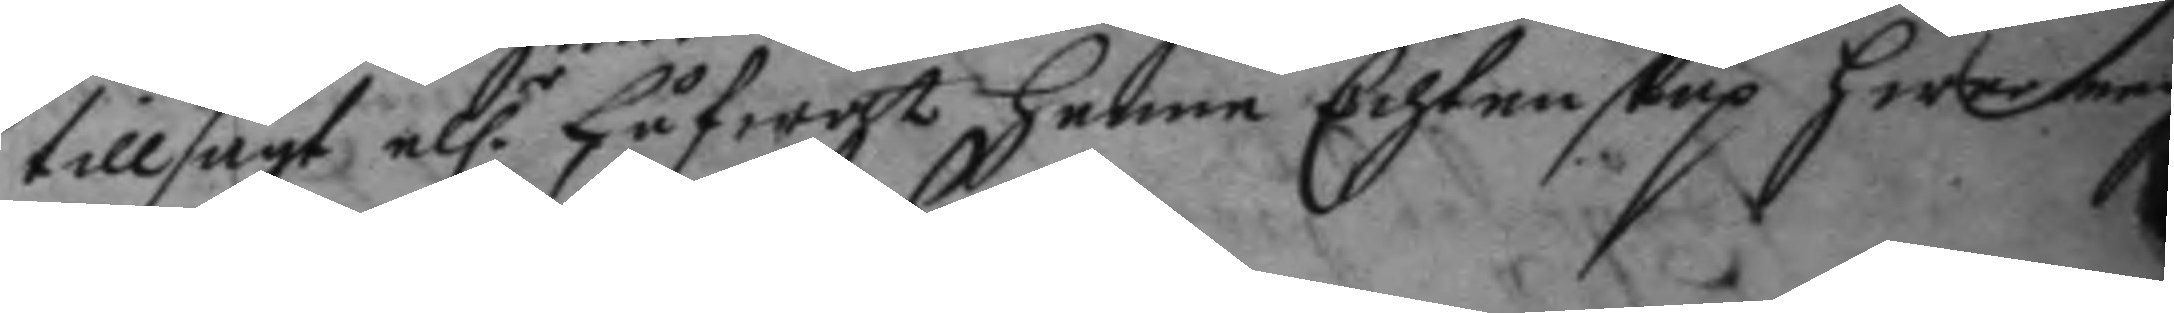tillsagt el.r Låfwat henne Echtenskap hwar medh
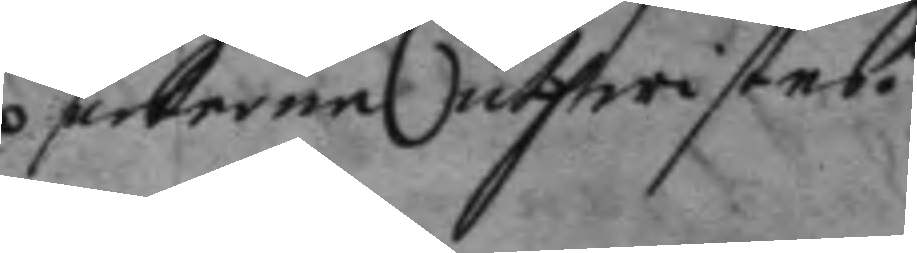parterne uthwistes.
